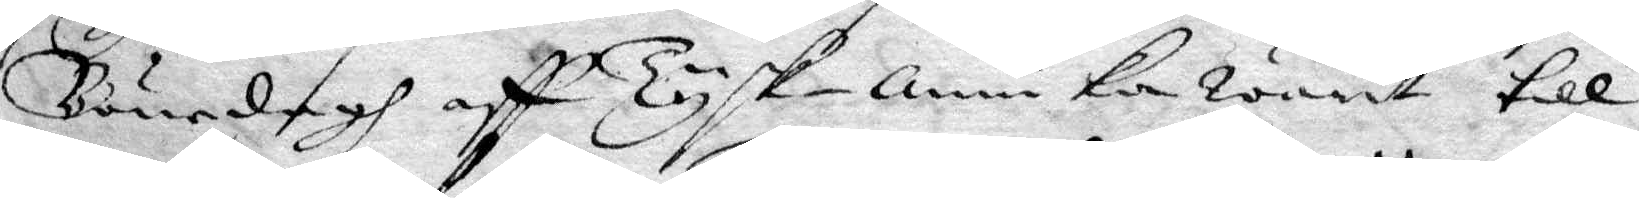Bönedagh aff Tysk-Annika warit till
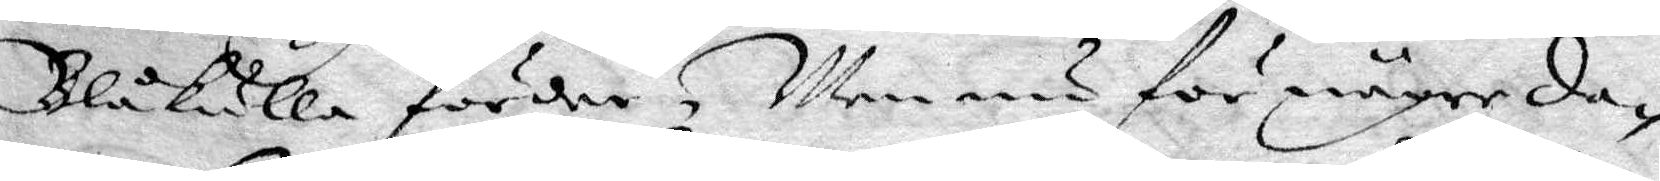Blåkulla förder, Men nu för någre da¬
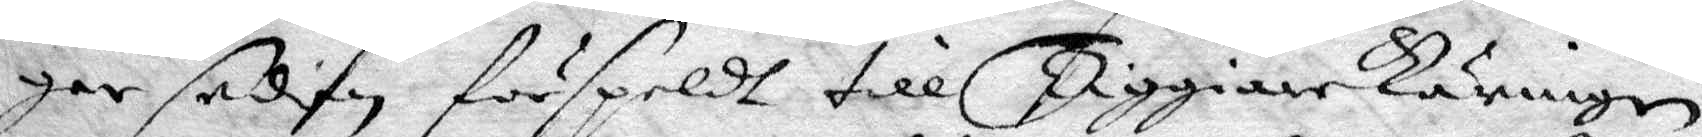gar sedan förspeldt till TiggiareKäringen
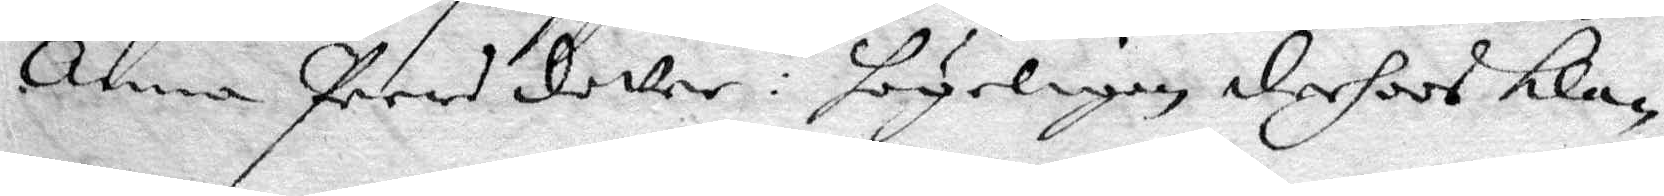Anna Persdotter: högeligen derhoos kla¬
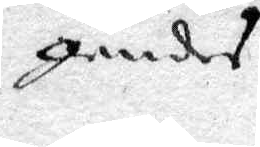gandes
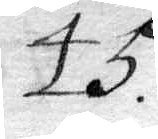45.
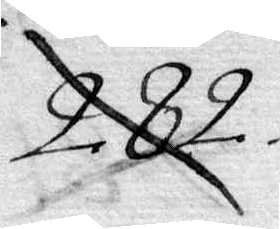282
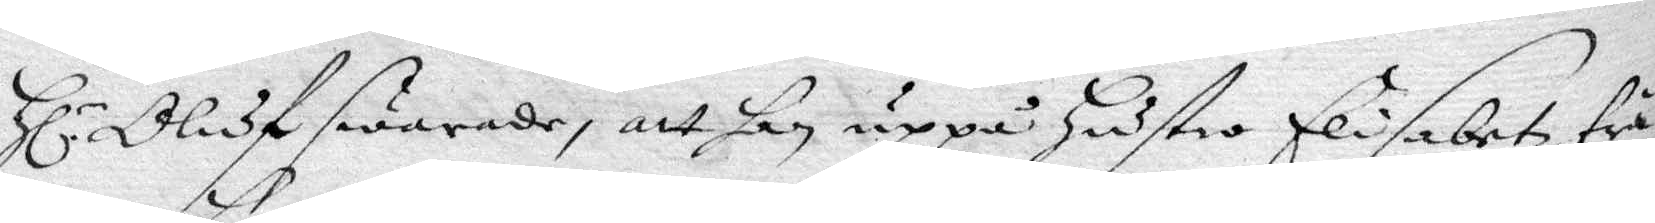Hl.r Oluf swarade, att han uppå hustro Elisabet trä¬ 
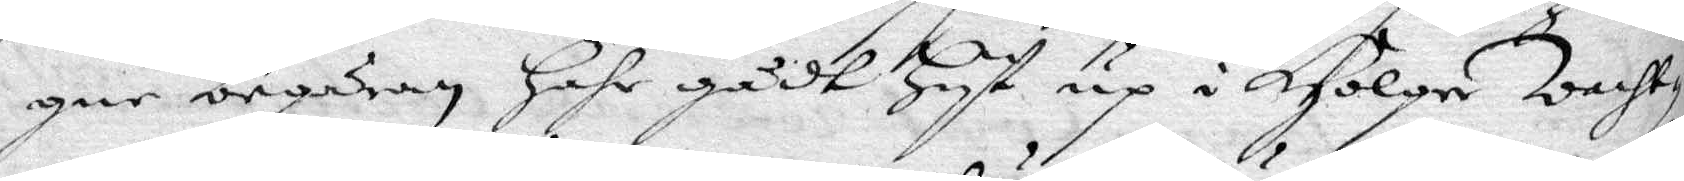gne begäran hahr gådt hyt up i Holger Wacht¬
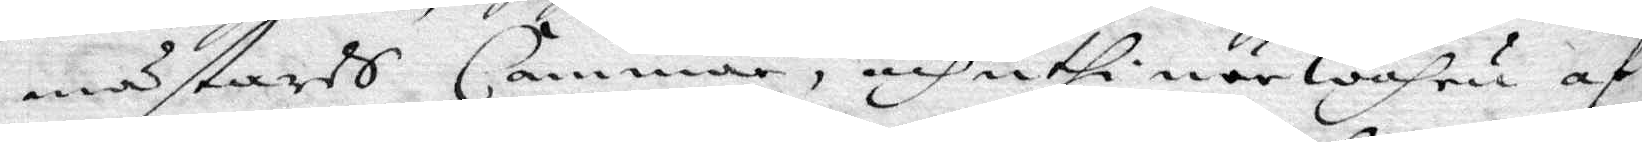mästares Cammar, och uthi närwahru af
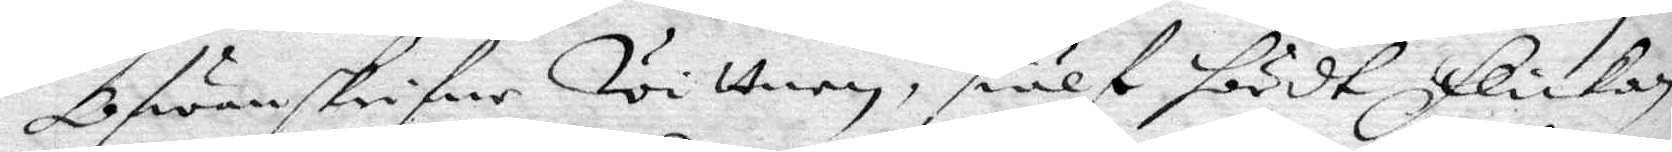Ofwanskrifne Wittnen, siälf hördt flickan
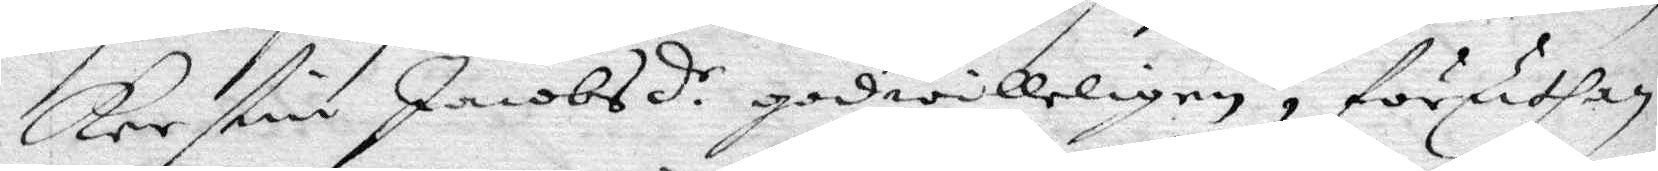Kerstin Jacobsdr. godwilleligen, föruthan 
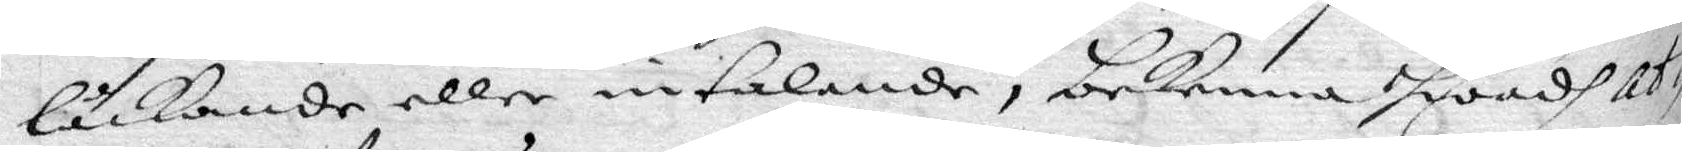låckande eller intalande, bekenna hwadh At¬
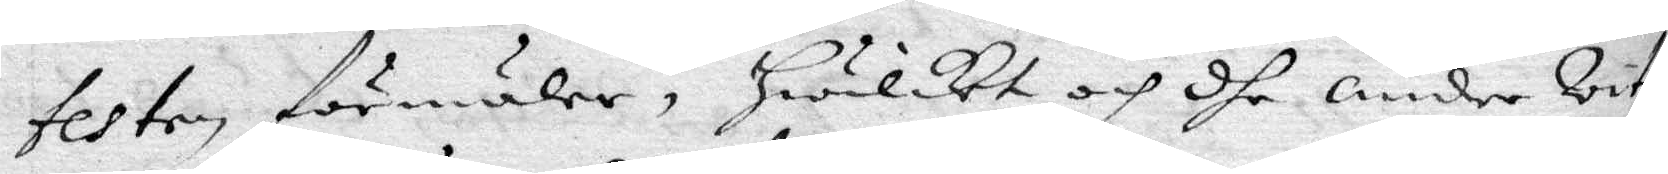testen förmäler, hwilket och dhe andre Wit¬
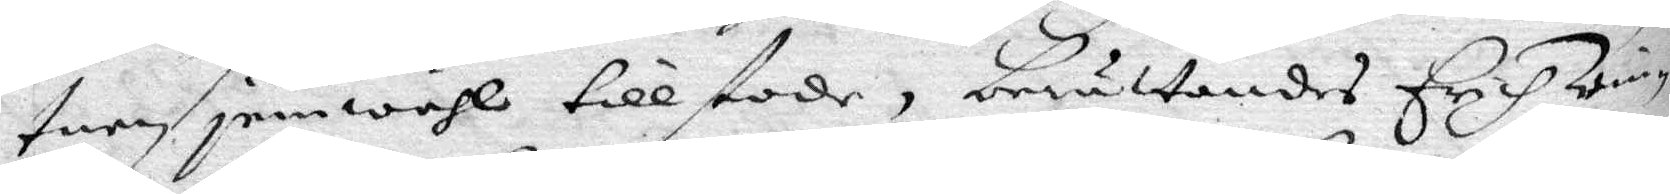tnen jemwähl tillstode, berättandes Erich Win¬
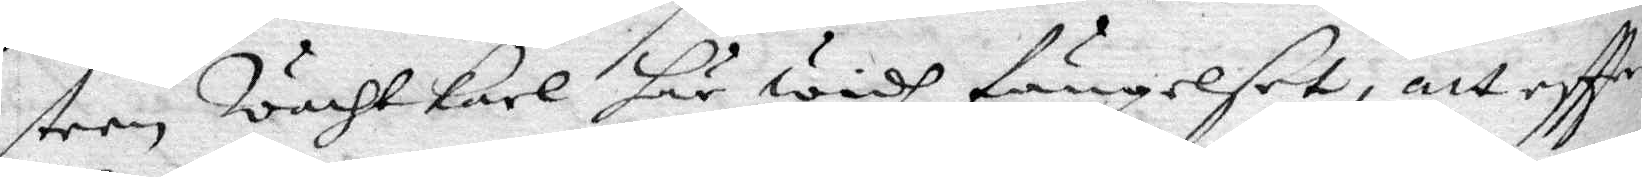steen wachtkarl här widh fängelset, att eftter
